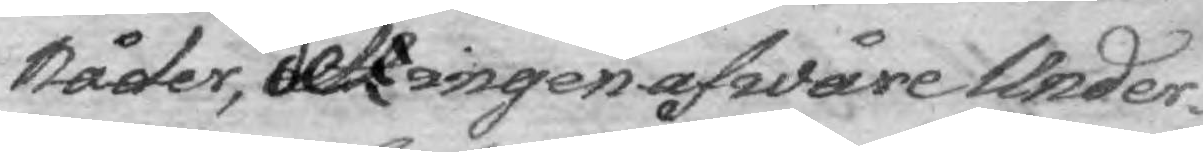Nåder, det ingen af våre Under¬
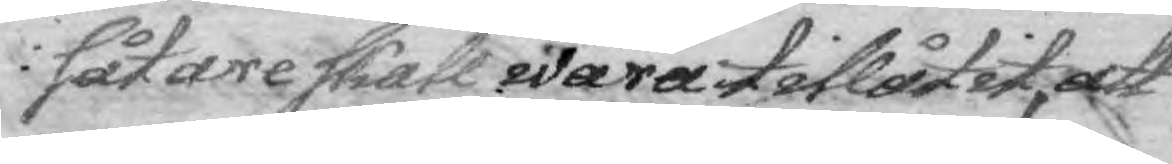såtare skall wara tillåtit, att
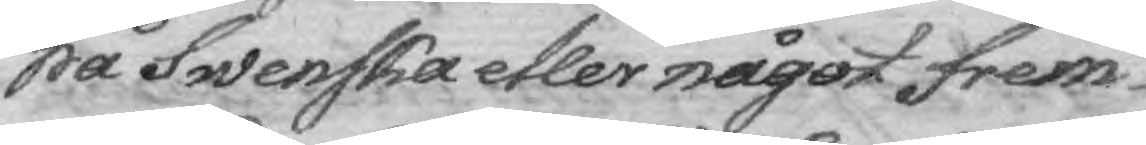på Swenska eller något frem¬
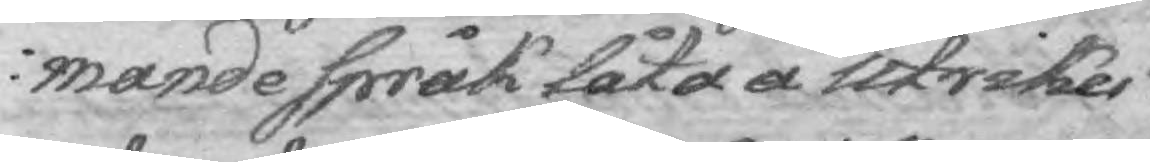mande språk låta å Utrikes
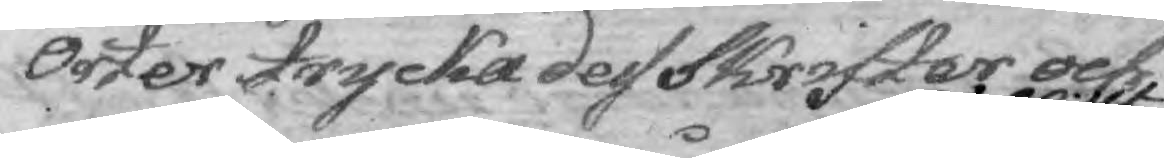Orter trycka des Skrifter och
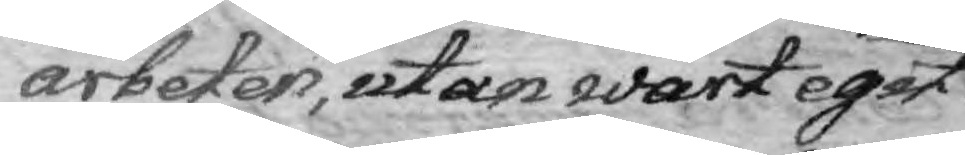arbeten, utan wårt egit
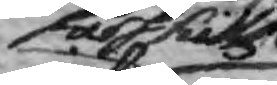särskillte
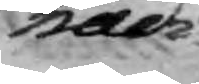nådi¬
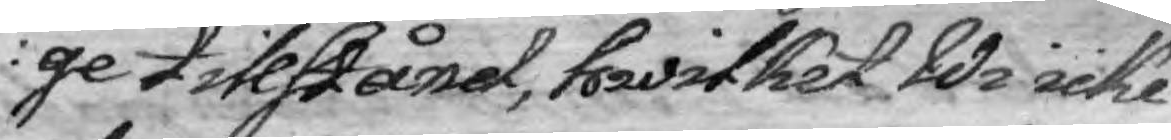ge tillstånd, hwilket Wi icke
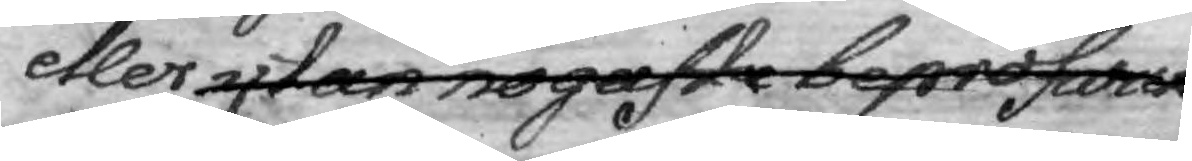eller utan någaste bepröfwan¬
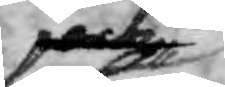och
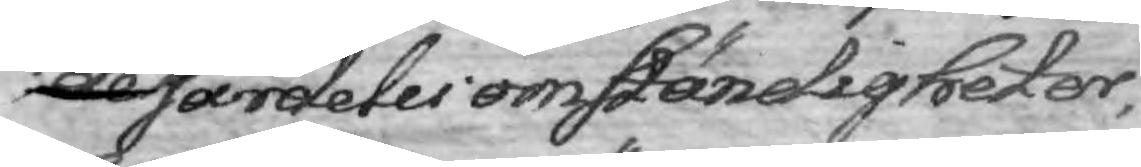de särdeles omständigheter,
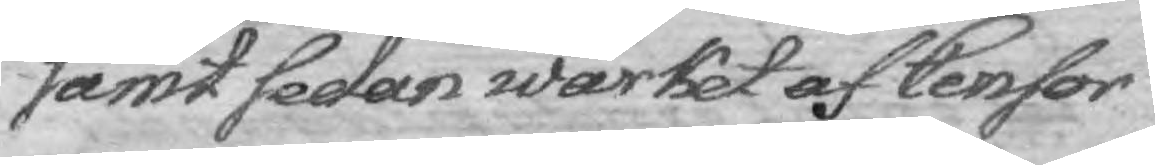samt sedan wärket af Censor
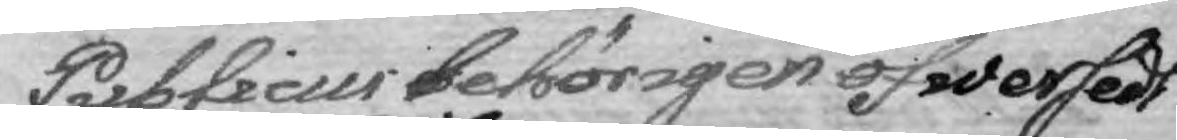Publicus behörigen öfwersedt
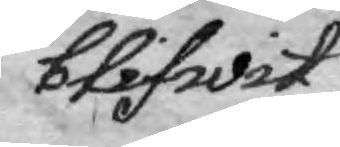blifwit,
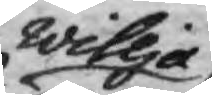willja
